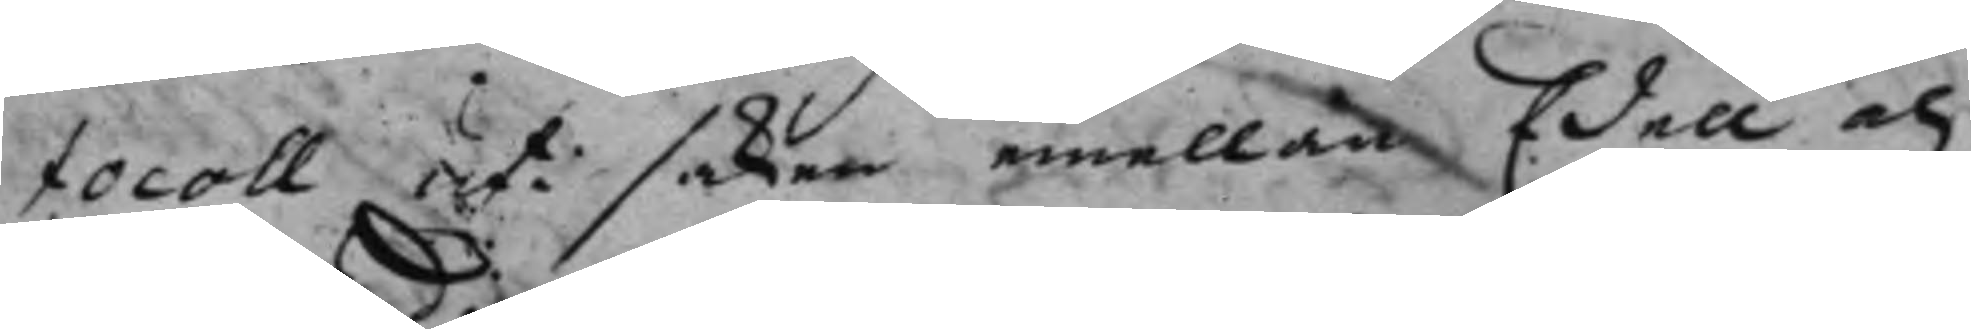tocoll uti saken emellan Edell och
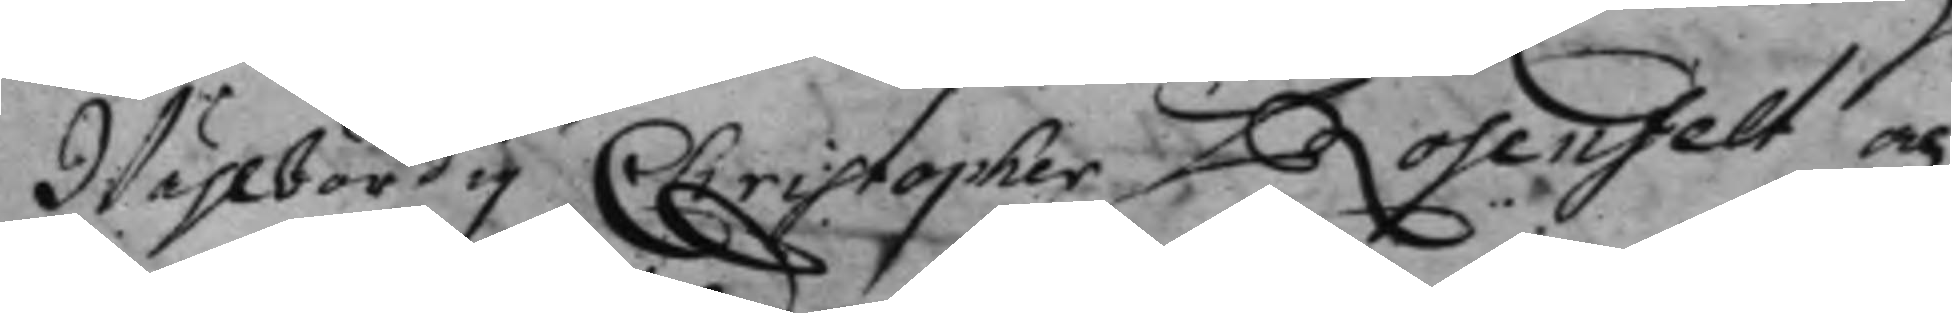Wählbördig Christopher Rosenfelt och
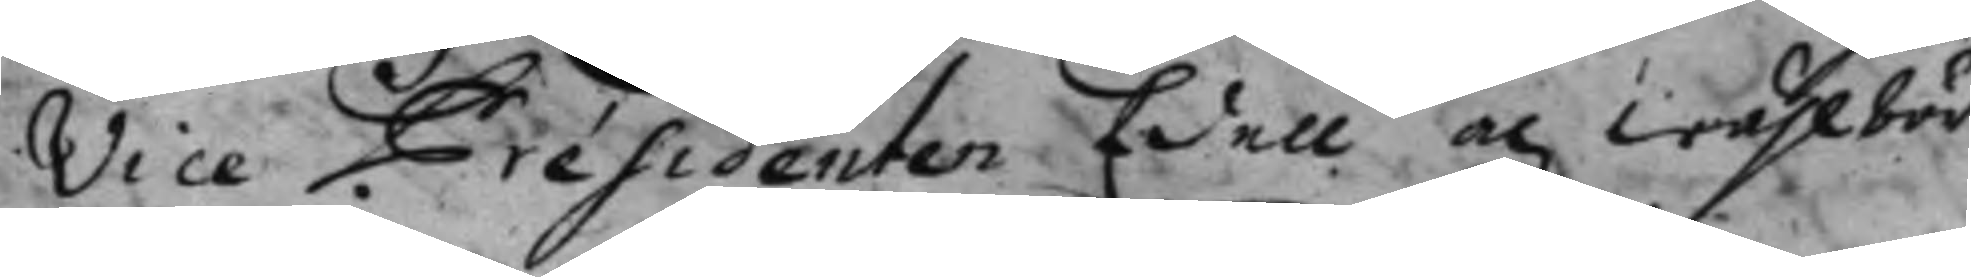Vice Präsidenten Edell och wählbör¬
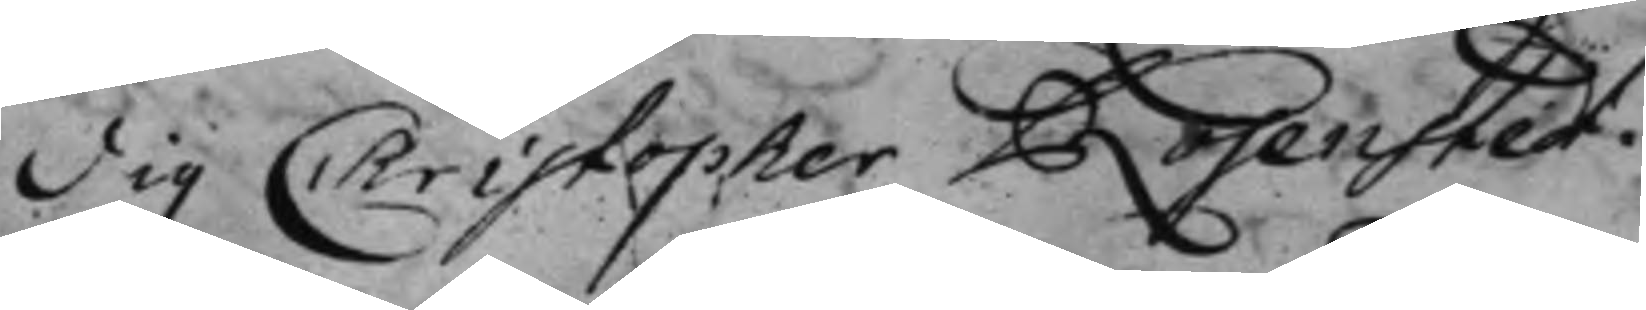dig Christopher Rosenstedt.
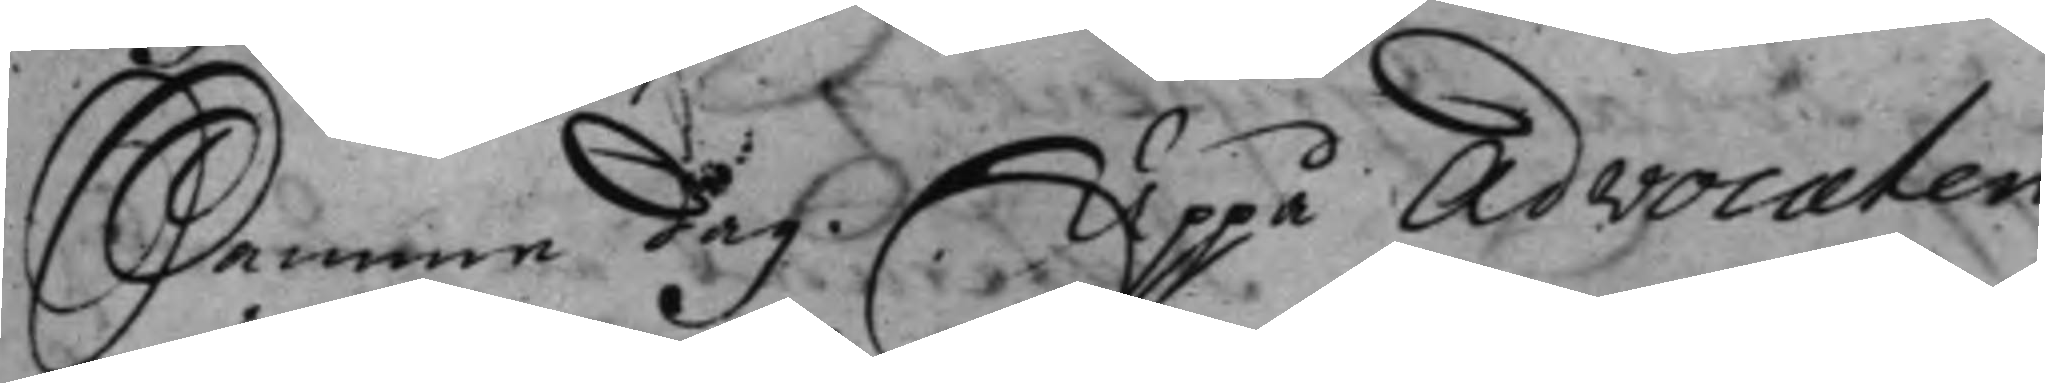Samme dag. Uppå Advocaten
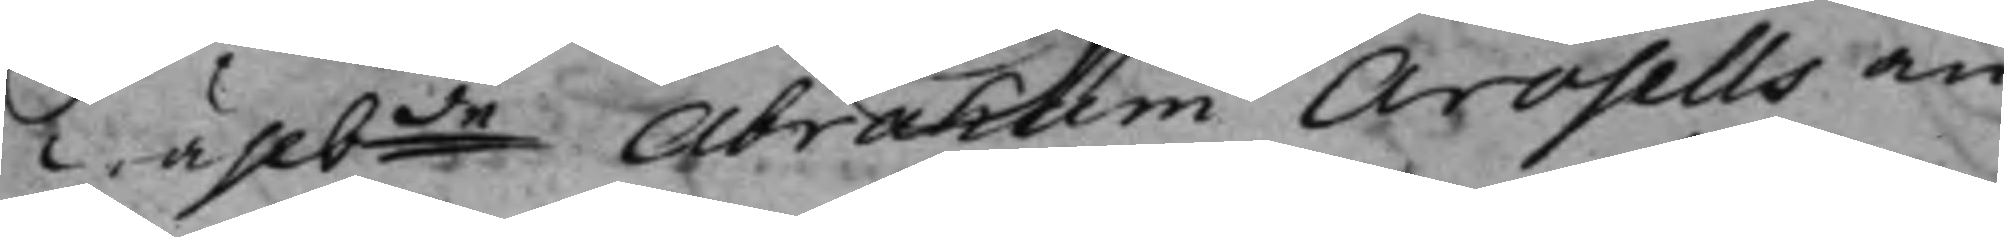Wählbde Abraham Arosells an¬
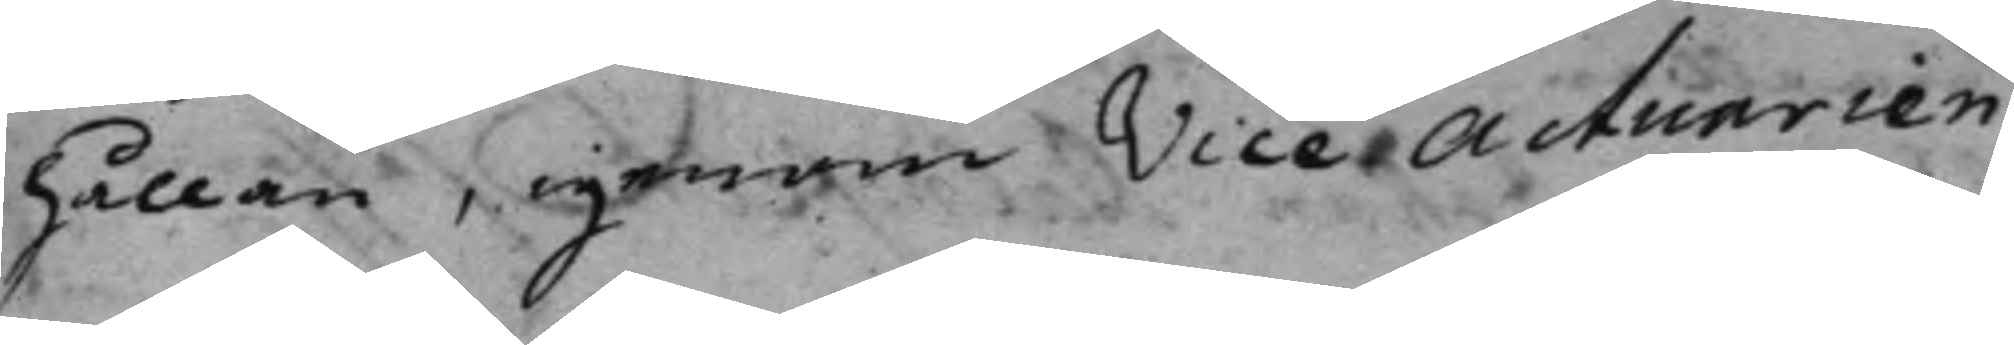hållan, igenom Vice Actuarien
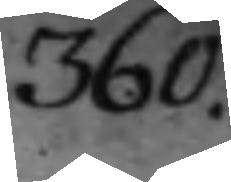360.
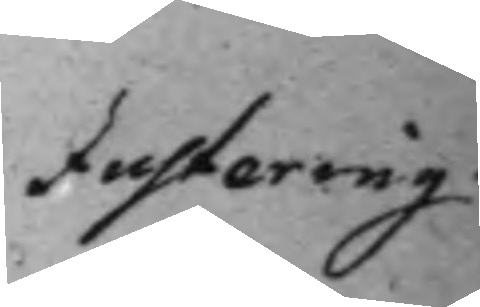Justering.
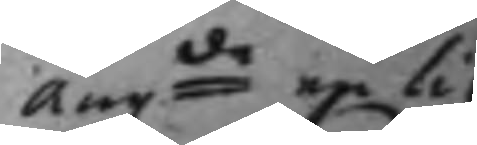Angde en li¬
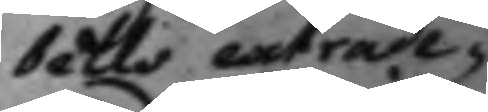bells extrade¬
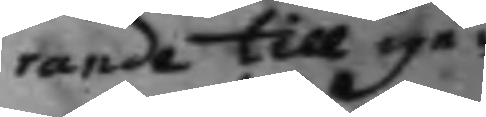rande till ige¬
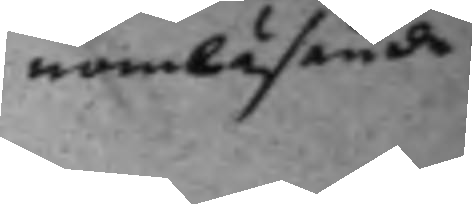nomläsande.
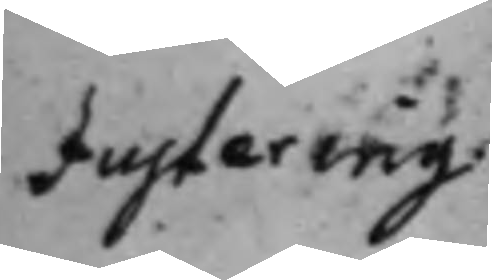Justering.
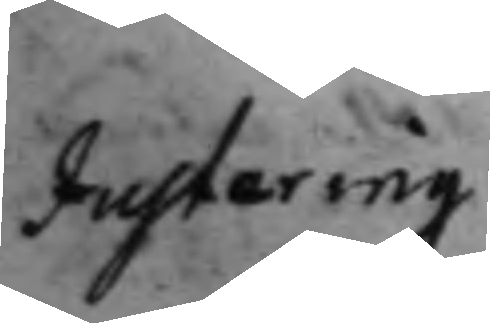Justering.
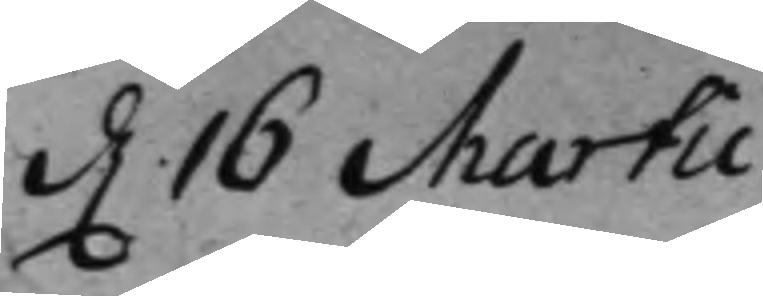d. 16 Martii
